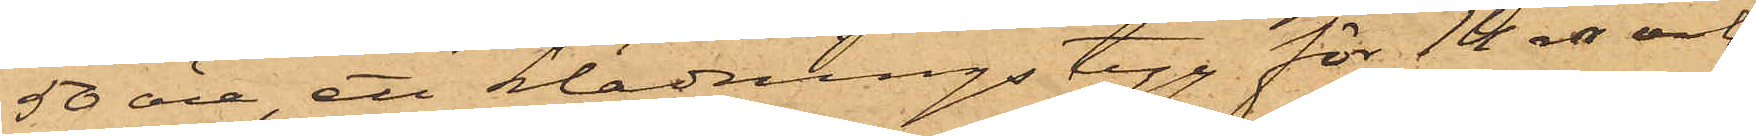50 öre, ett klädningstyg för 14 rdr och
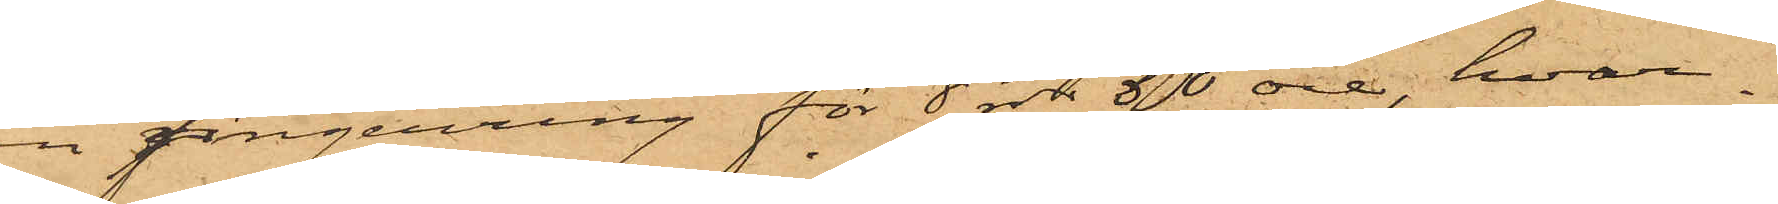en fingerring för 8 rdr 50 öre, hvar¬
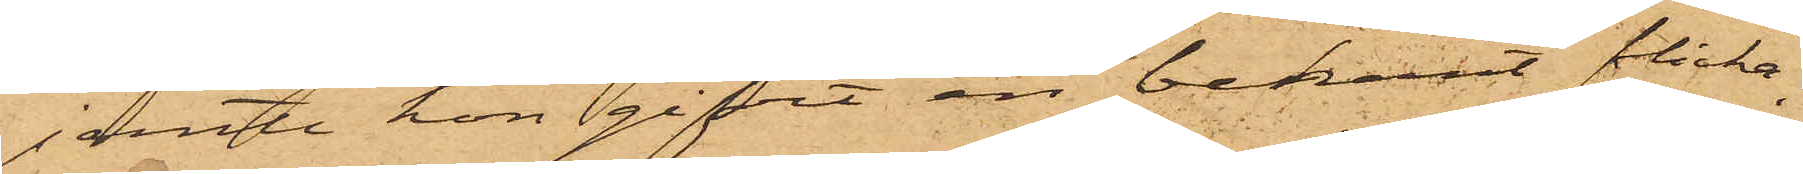jemte hon gifvit en bekant flicka,
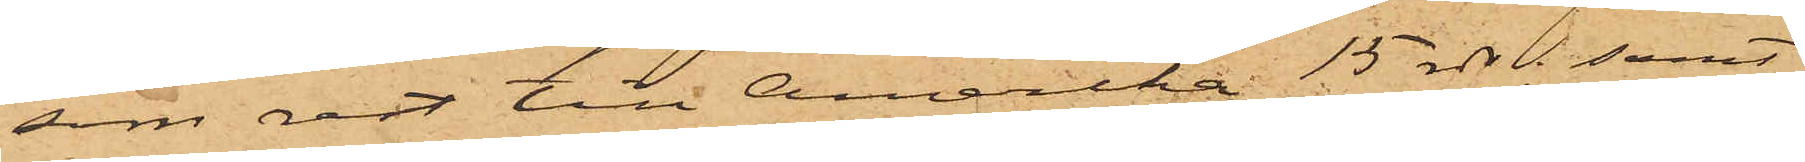som rest till Amerika, 15 rdr: samt
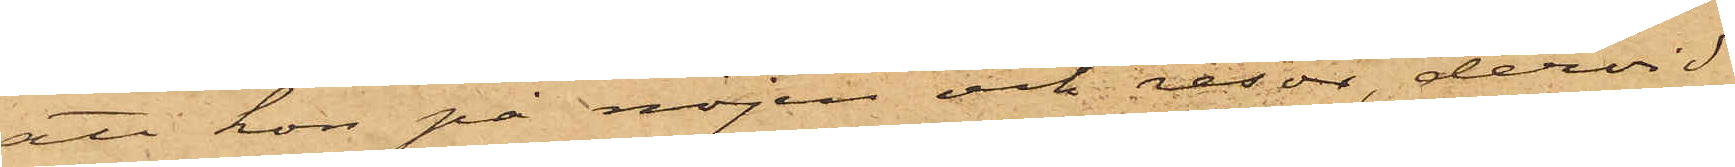att hon på nöjen och resor, dervid
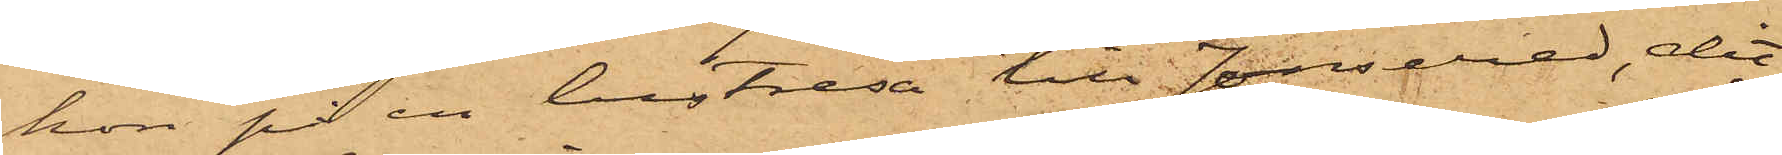hon på en lustresa till Jonsered, dit
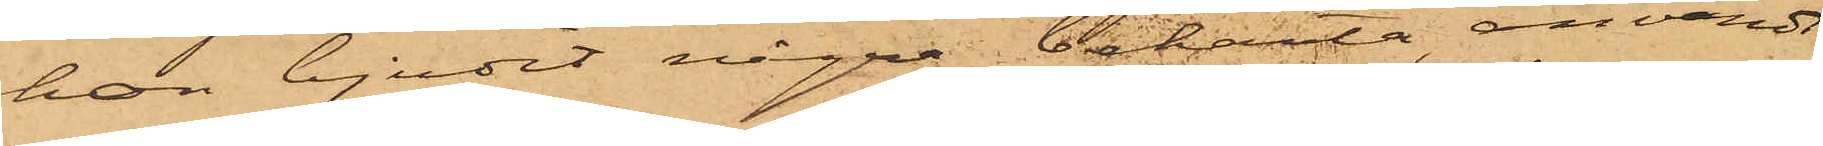hon bjudit några bekanta, användt
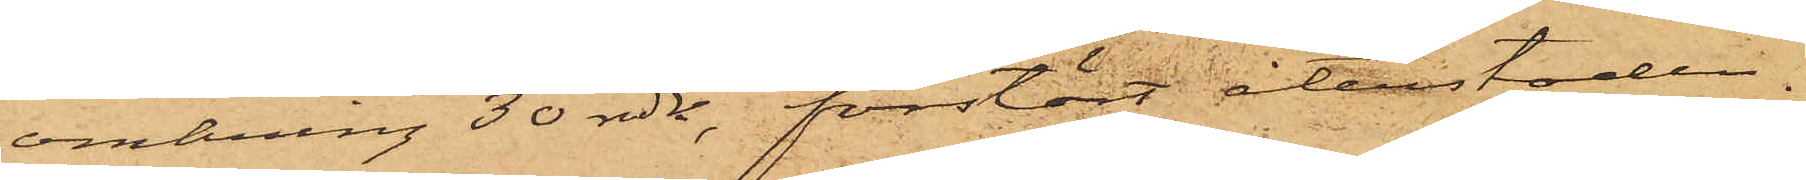omkring 30 rdr, förslösat återstoden.
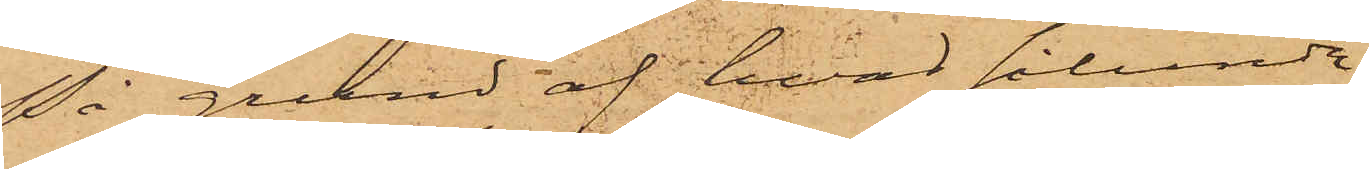På grund af hvad sålunda
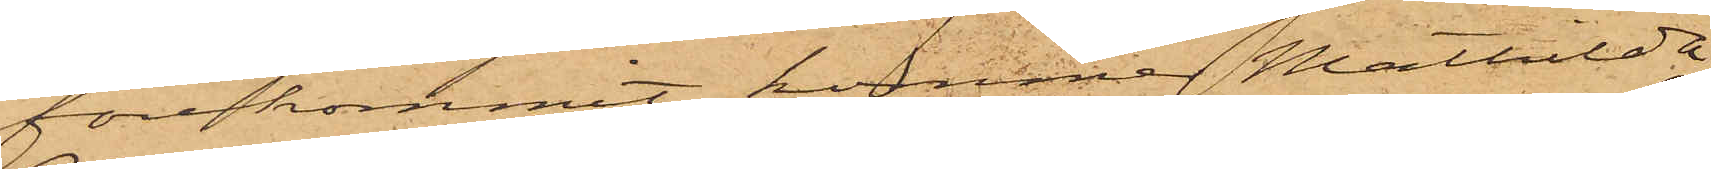förekommit, kommer Mathilda
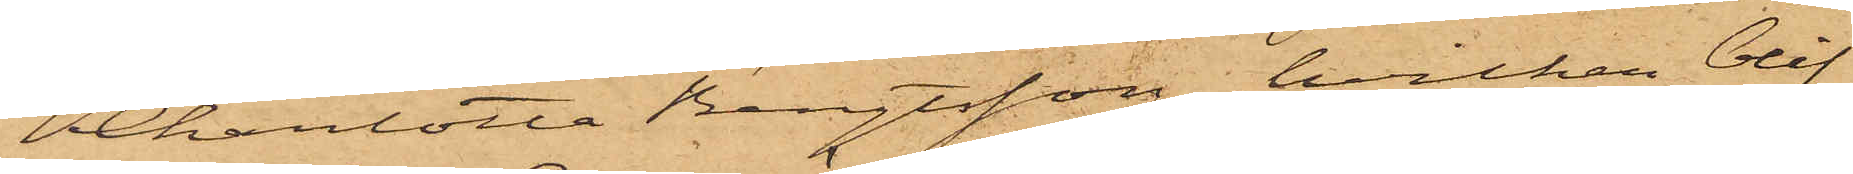Charlotta Bengtsson, hvilken blif¬
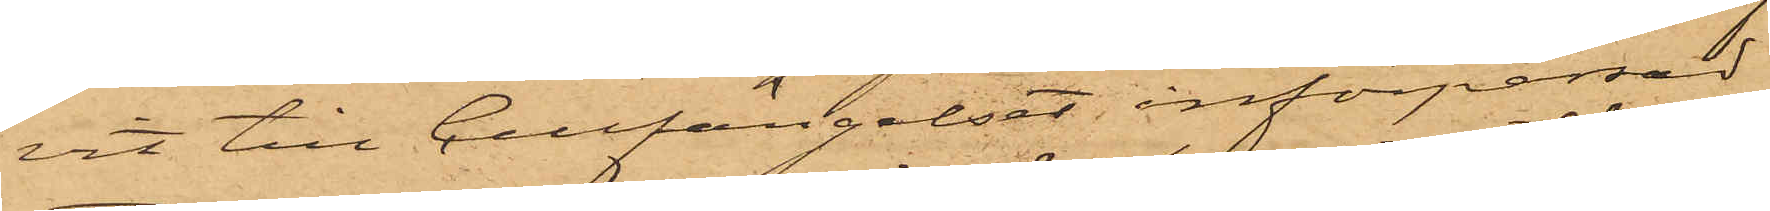vit till Cellfängelset införpassad,
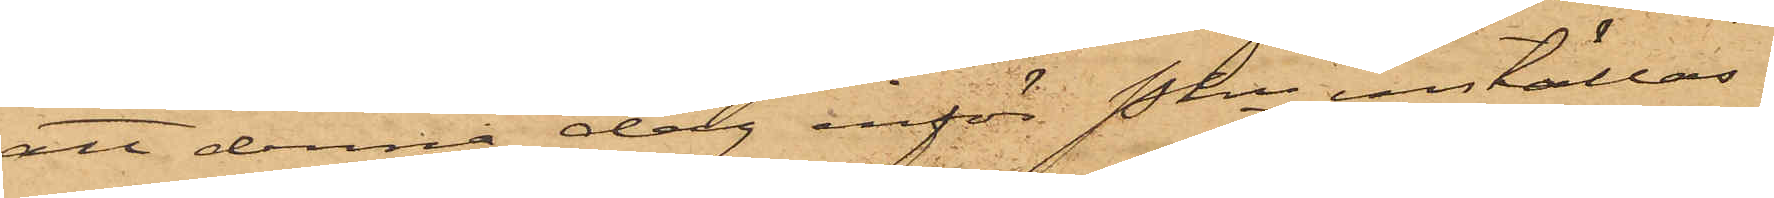att denna dag inför Pkn inställas.
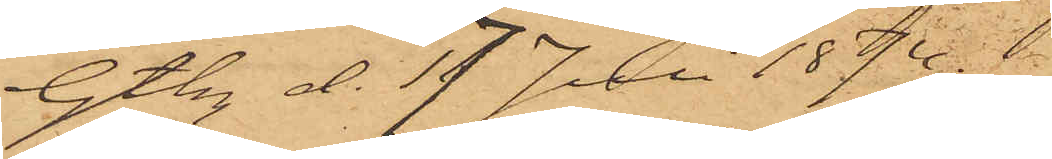Gtbg d. 17 Juli 1874.
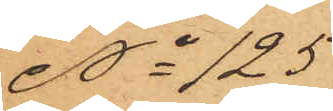No 125
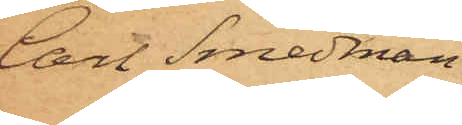Carl Smedman
